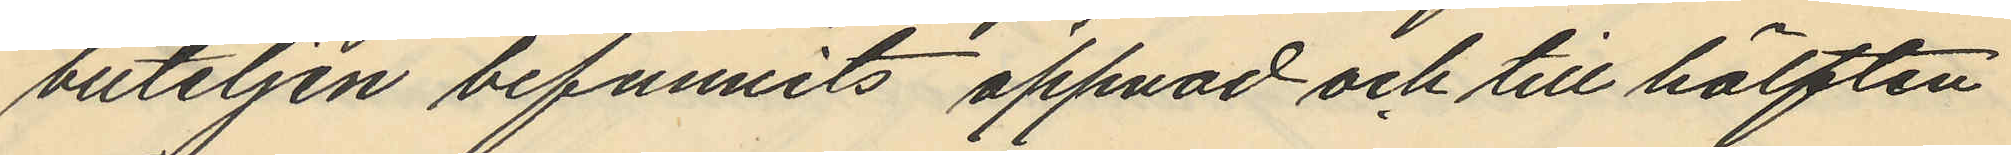buteljen befunnits öppnad och till hälften
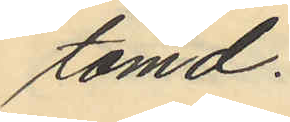tömd.
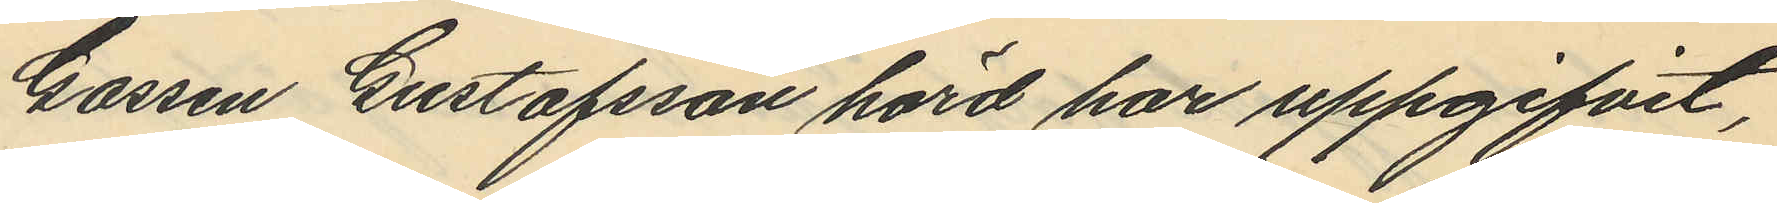Gossen Gustafsson hörd har uppgifvit,
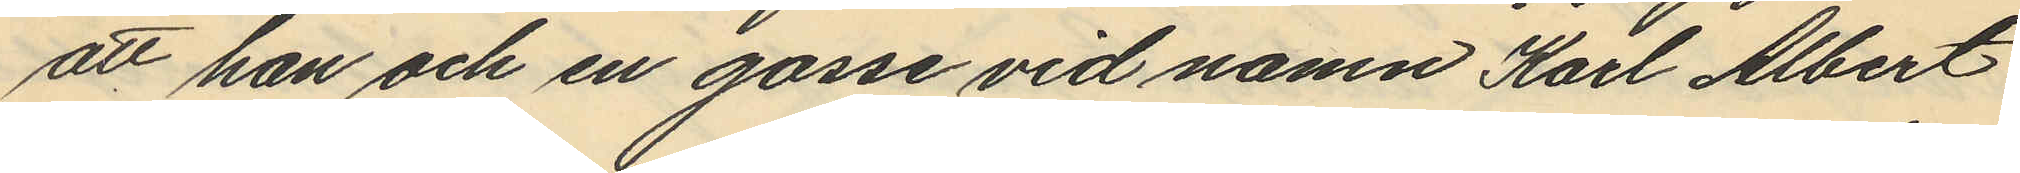att han och en gosse vid namn Karl Albert
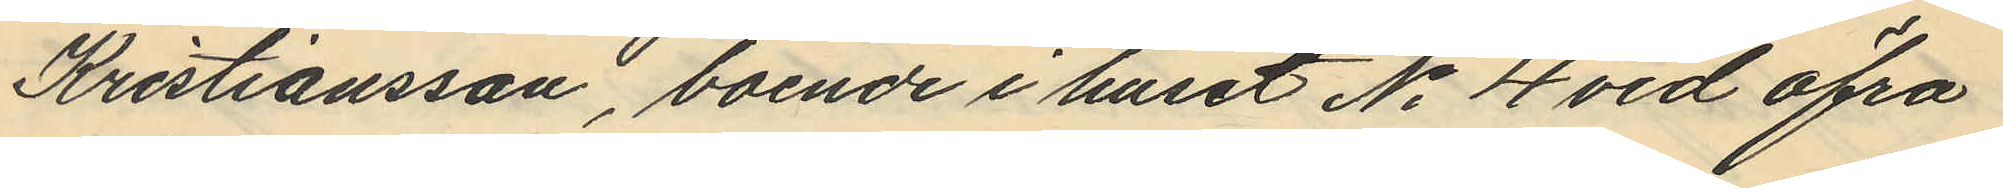Kristiansson, boende i huset No 4 vid Öfra
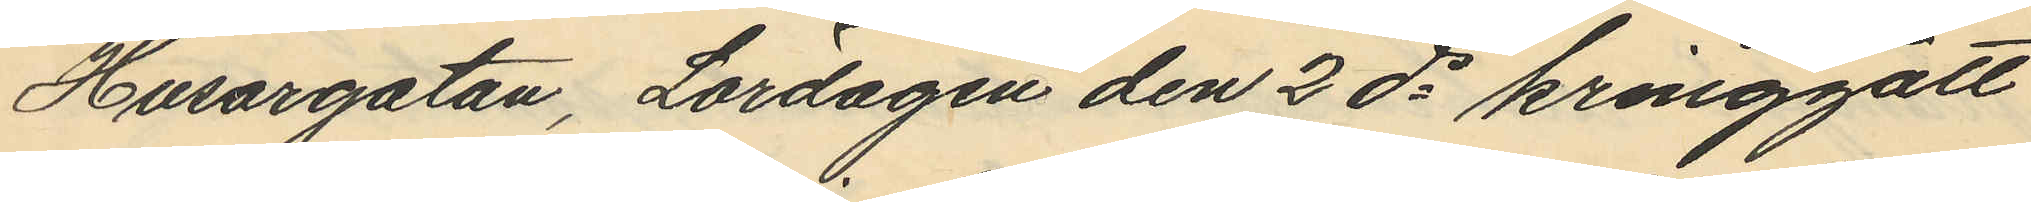Husargatan, Lördagen den 2 ds kringgått
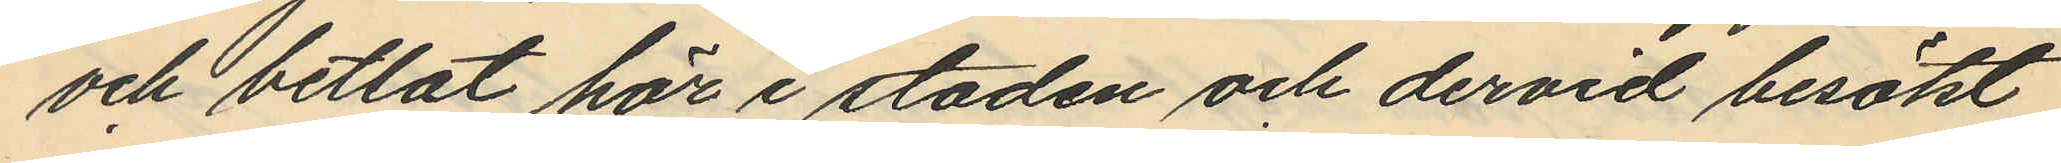och betlat här i staden och dervid besökt
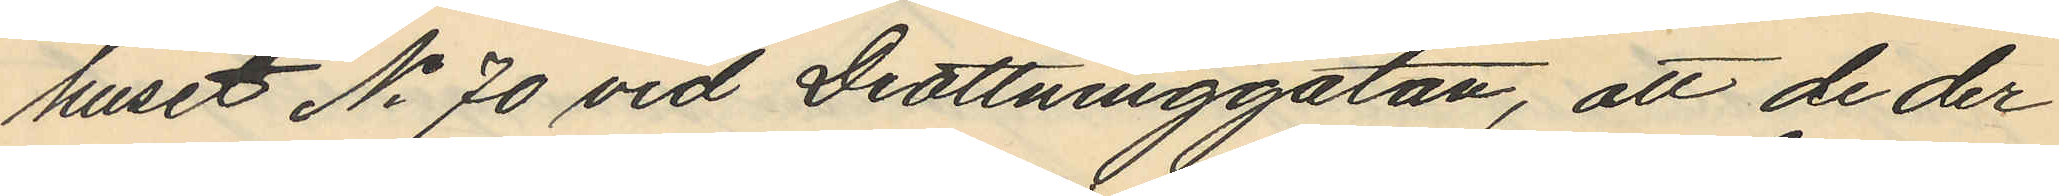huset No 70 vid Drottninggatan, att de der
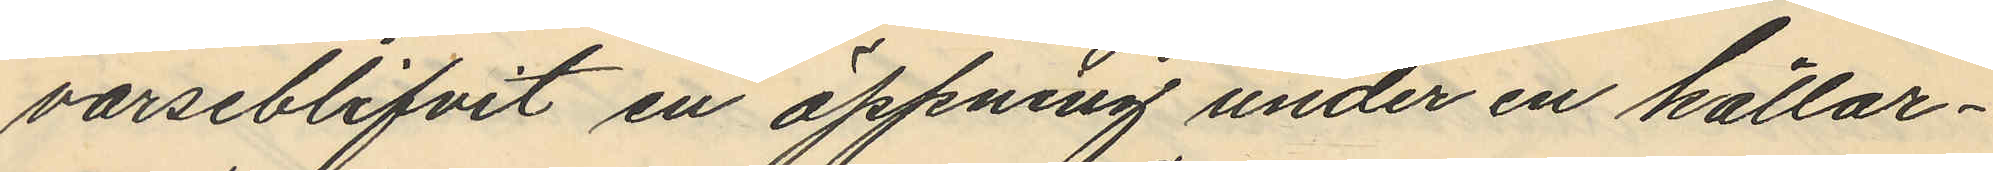varseblifvit en öppning under en källar¬
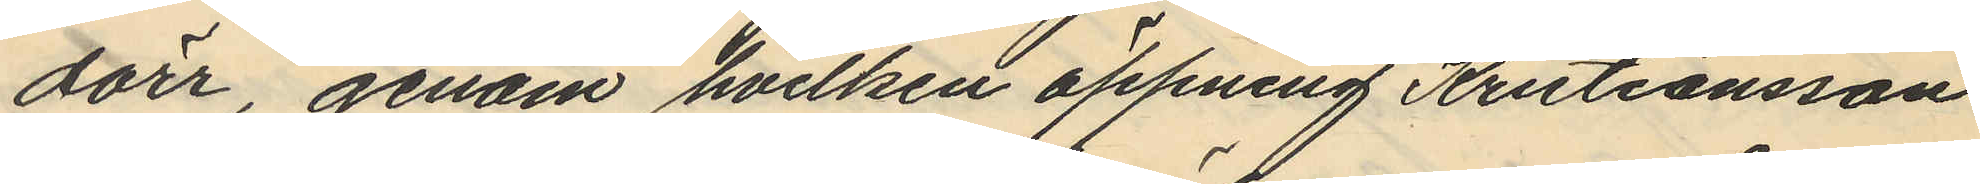dörr, genom hvilken öppning Kristiansson
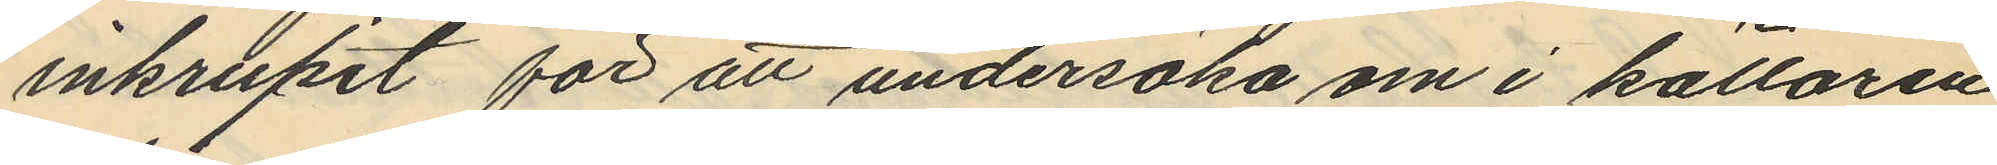inkrupit för att undersöka om i källaren
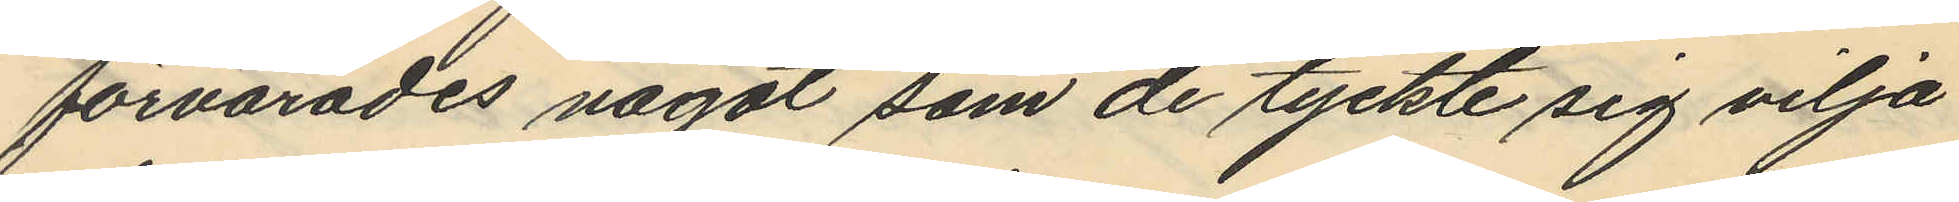förvarades något som de tyckte sig vilja
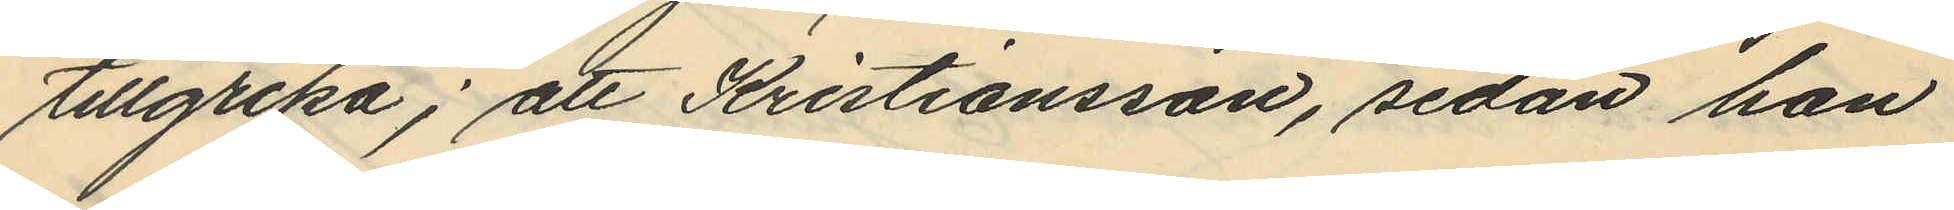tillgripa; att Kristiansson, sedan han
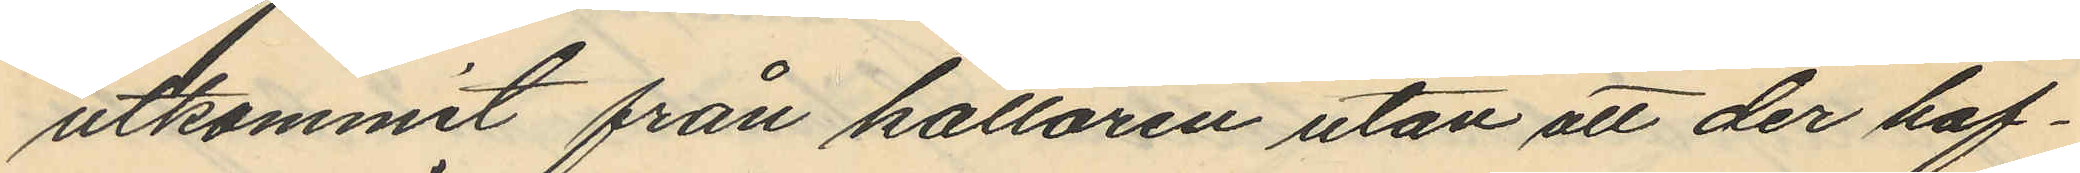utkommit från källaren utan att der haf¬
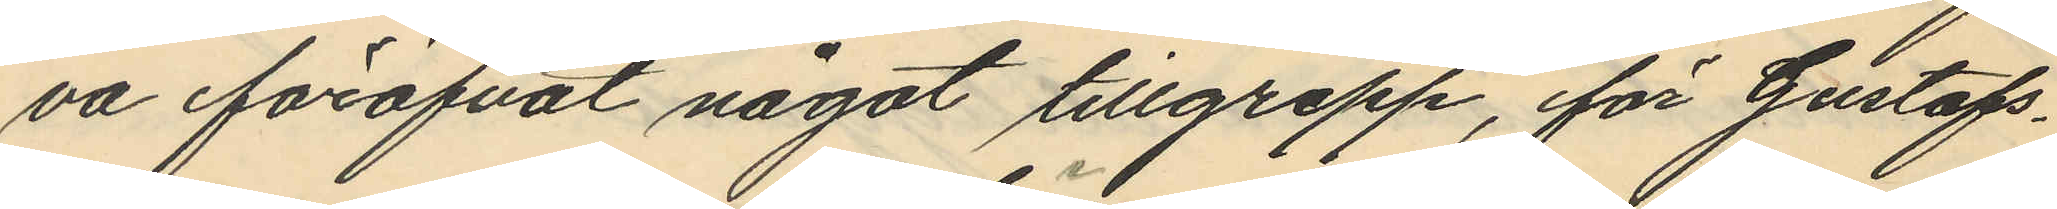va föröfvat något tillgrepp, för Gustafs¬
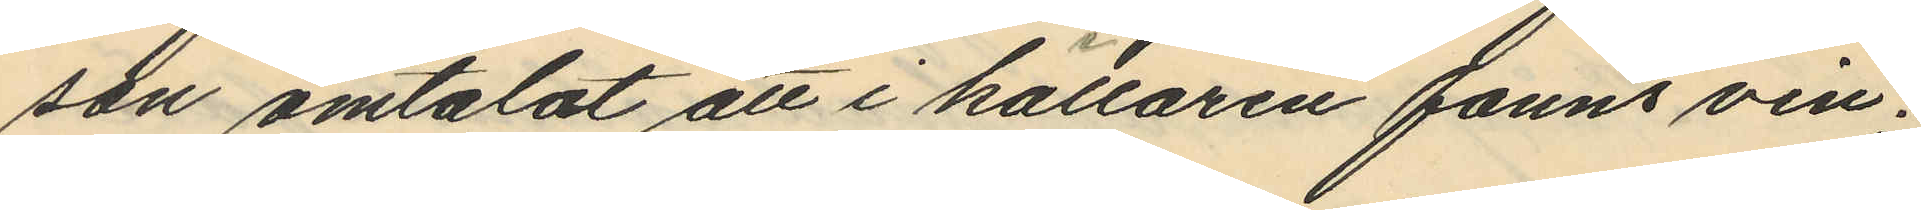son omtalat att i källaren fanns vin;
